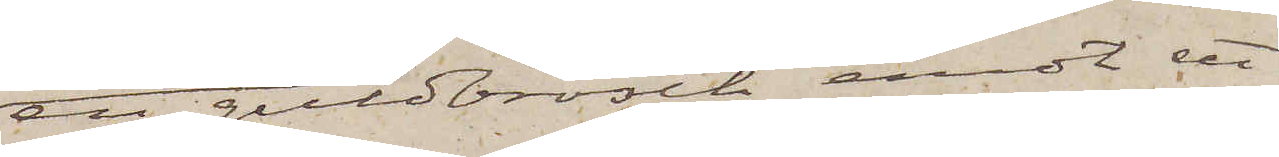en guldbrosch emot ett
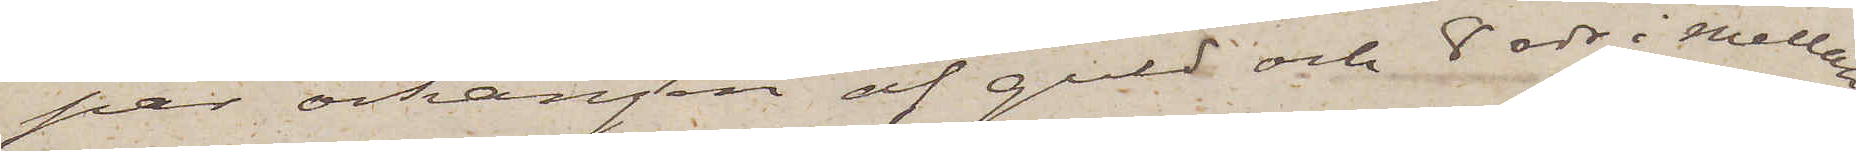par örhängen af guld och 8 rdr i mellan¬
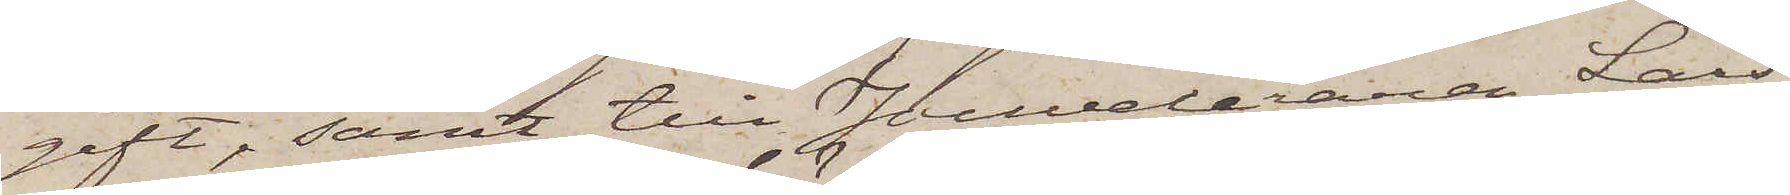gift, samt till Jouveleraren Lars¬
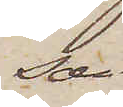son
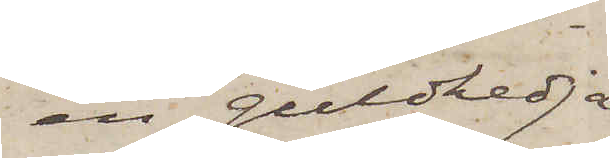en guldkedja
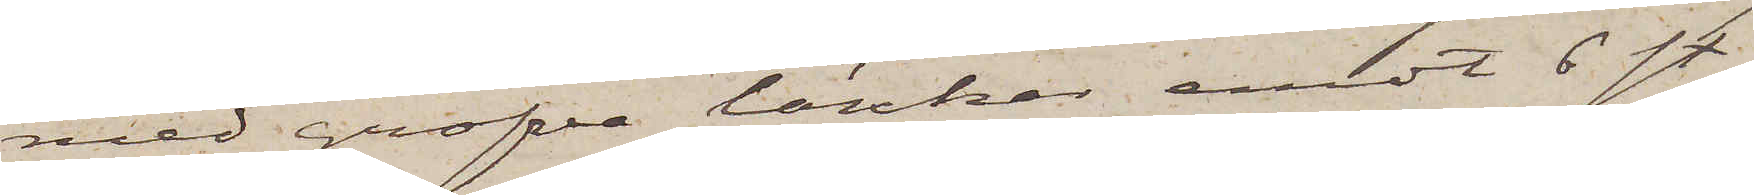med grofva länkar emot 6 st.
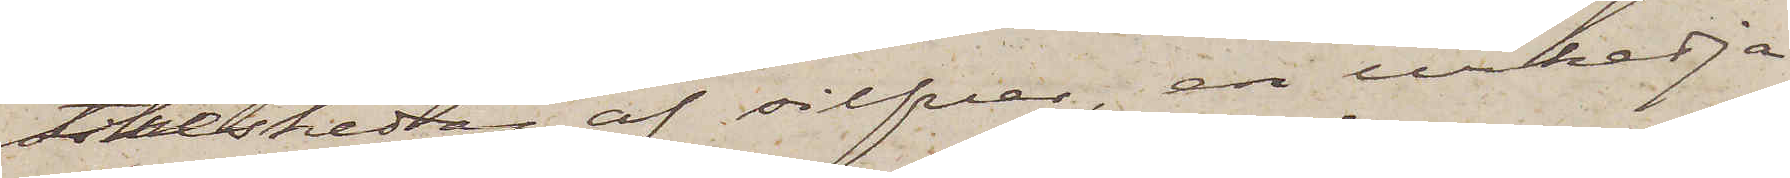theskedar af silfver, en urkedja
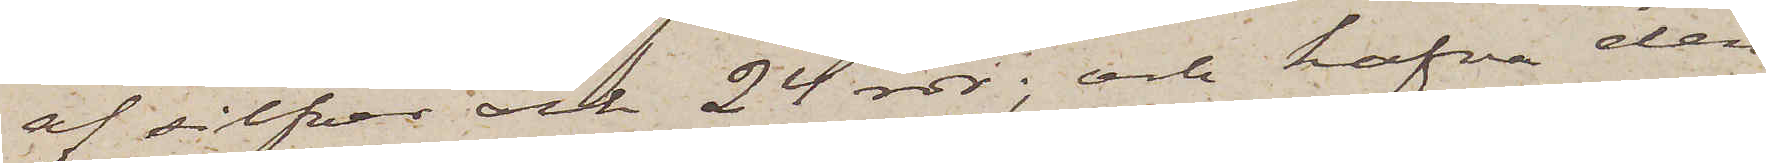af silfver och 24 rdr; och hafva den
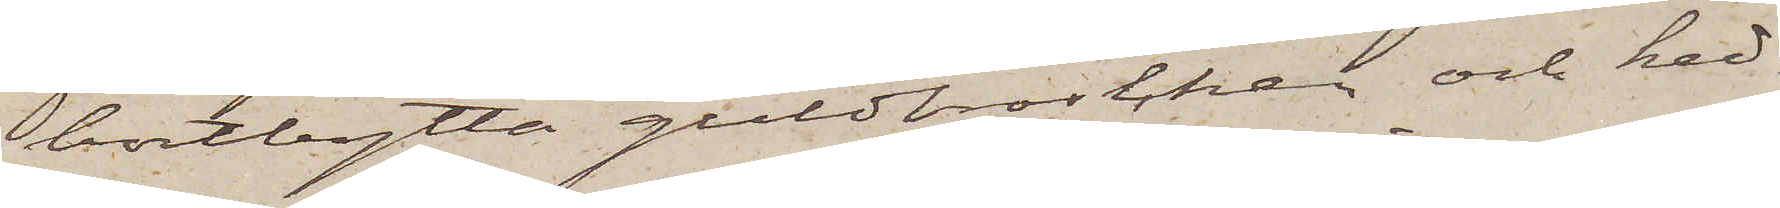bortbytta guldbroschen och ked¬
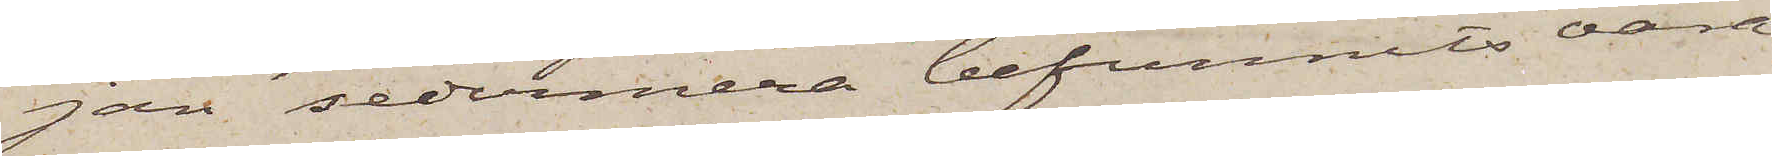jan sedermera befunnits vara
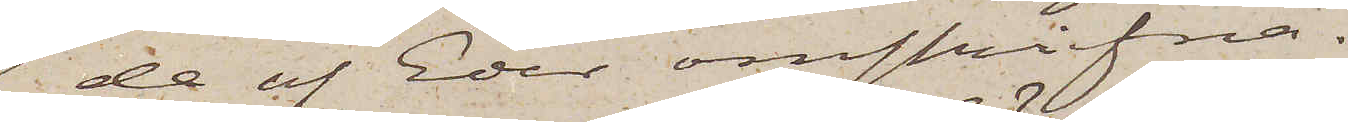de af Eder omskrifna.
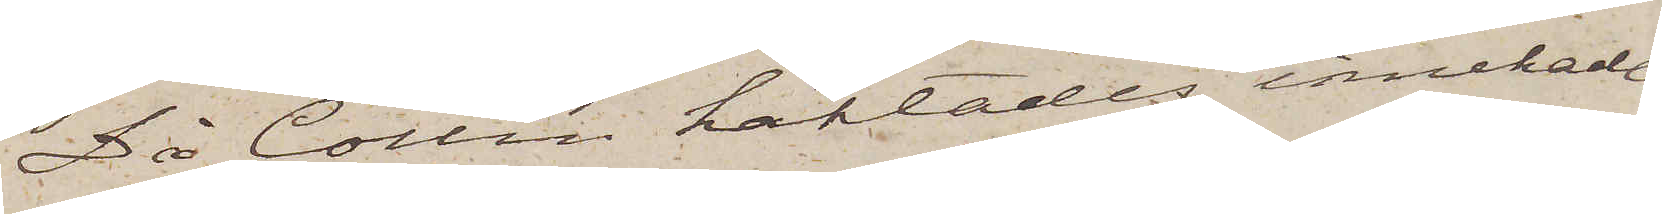Då Collin häktades, innehade
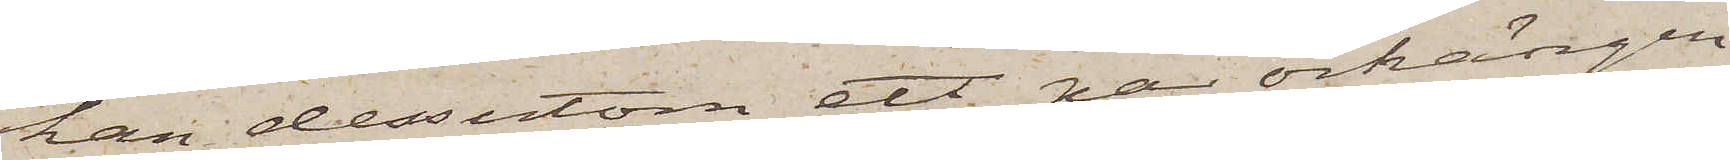han dessutom ett par örhängen
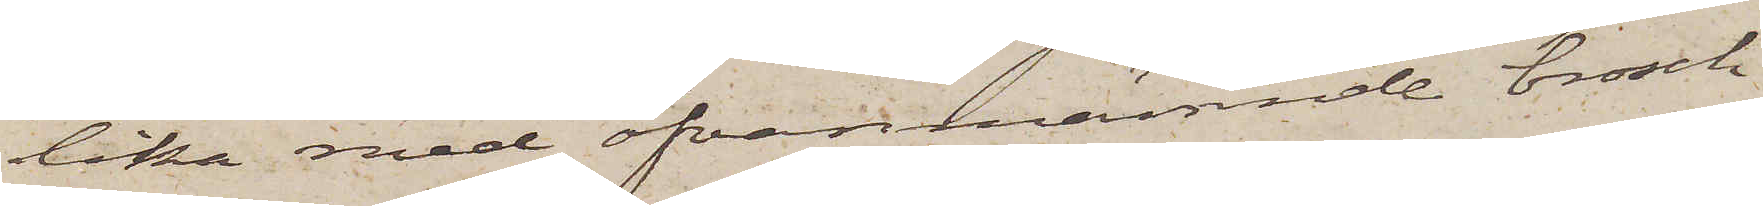lika med ofvannämnde brosch
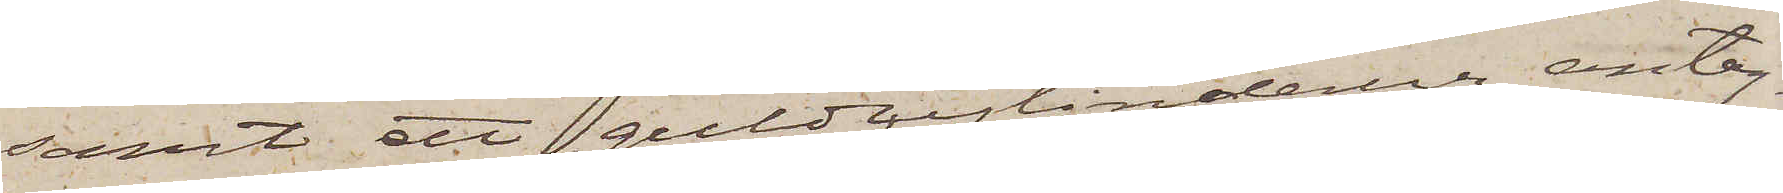samt ett guldcylinderur, antag¬
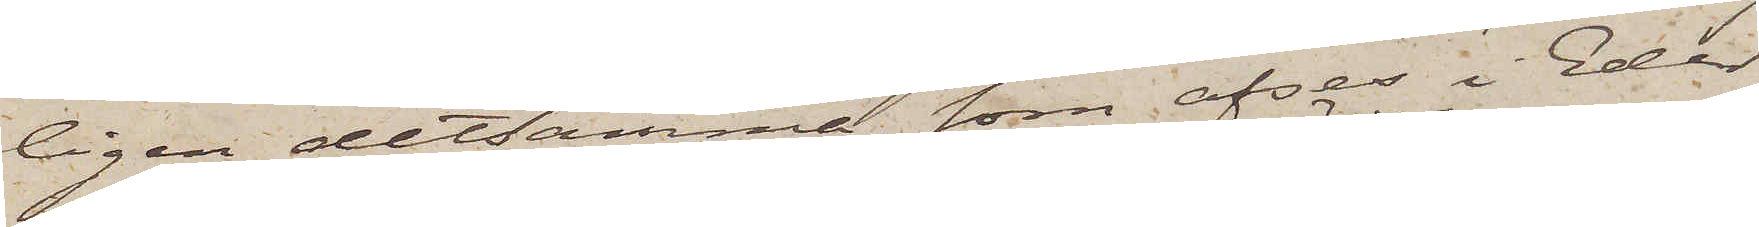ligen detsamma som afses i Eder
